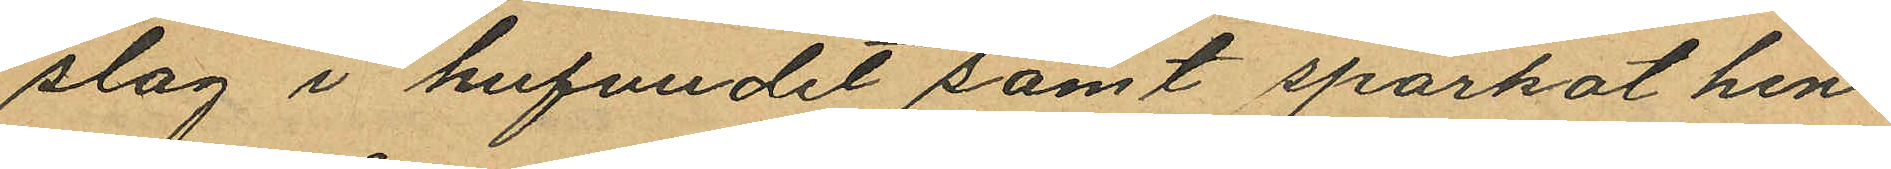slag i hufvudet samt sparkat hen
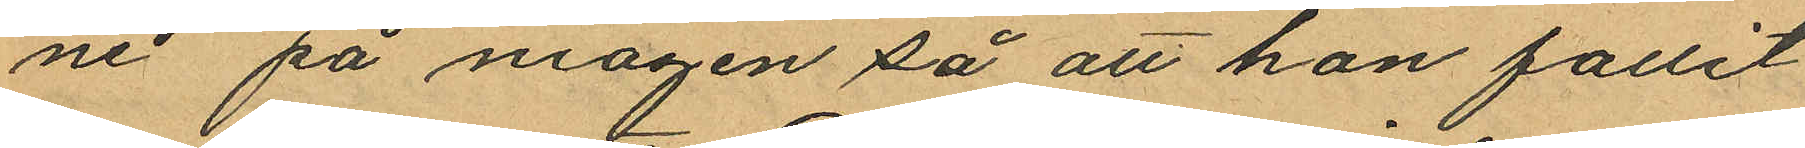ne på magen så att hon fallit
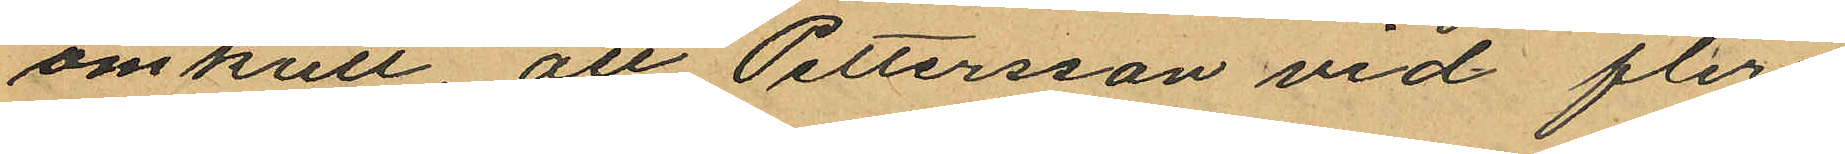omkull att Pettersson vid flere
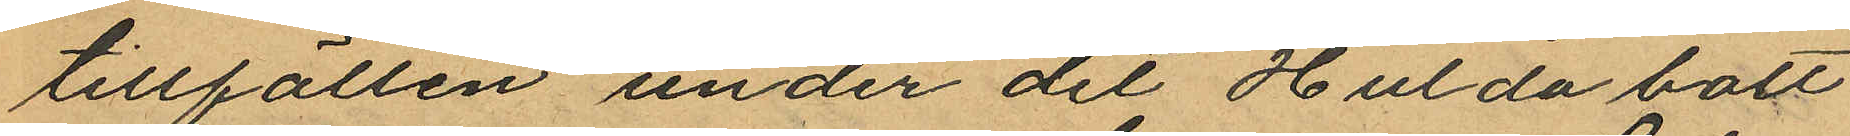tillfällen under det Hulda bott
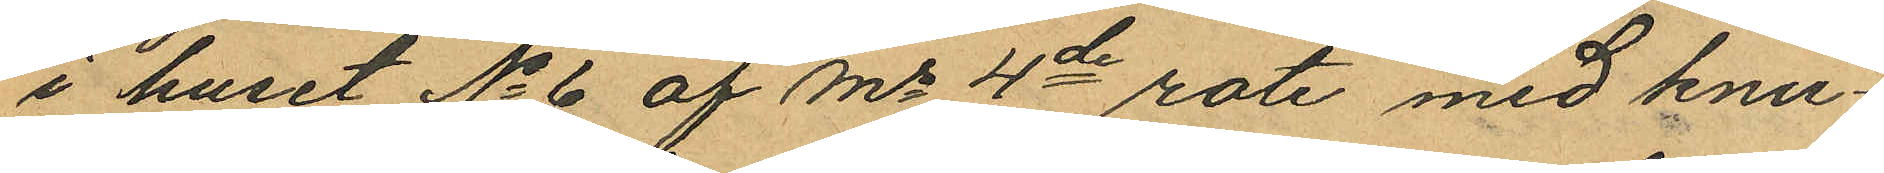i huset No 6 af Ms 4de rote med knu¬
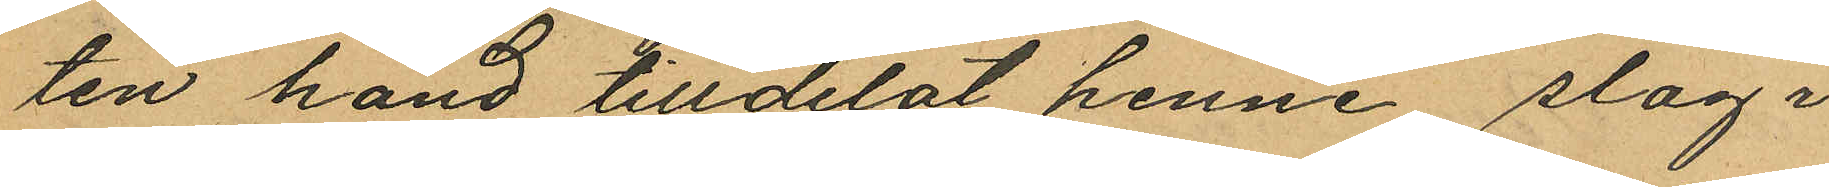ten hand tilldelat henne slag i
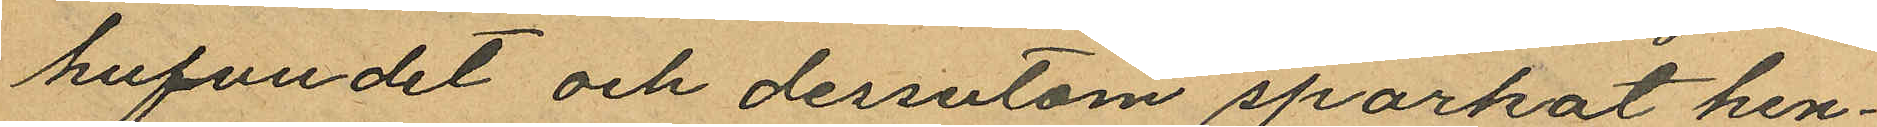hufvudet och dessutom sparkat hen¬
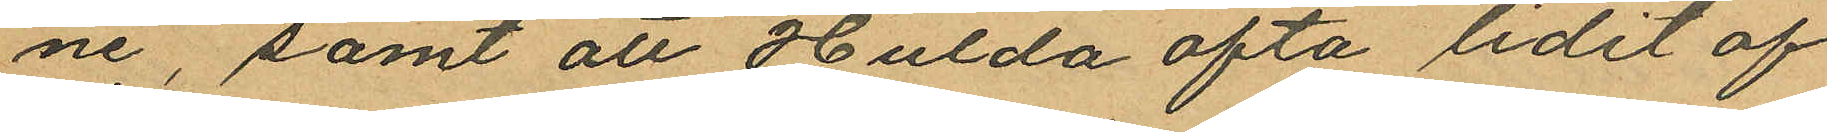ne, samt att Hulda ofta lidit af
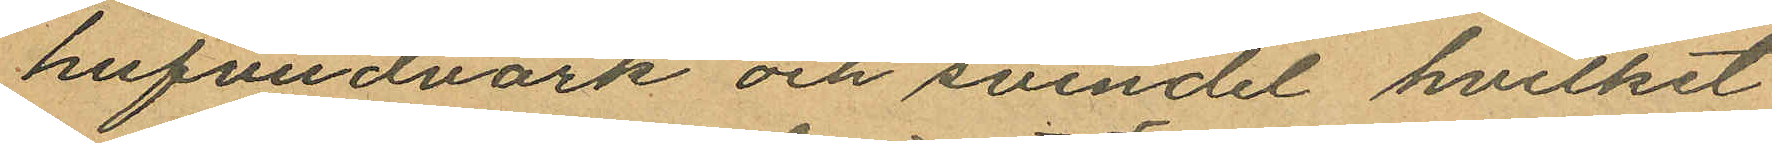hufvudvärk och svindel hvilket
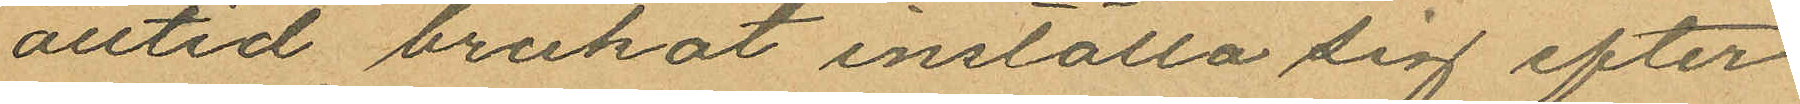alltid brukat inställa sig efter
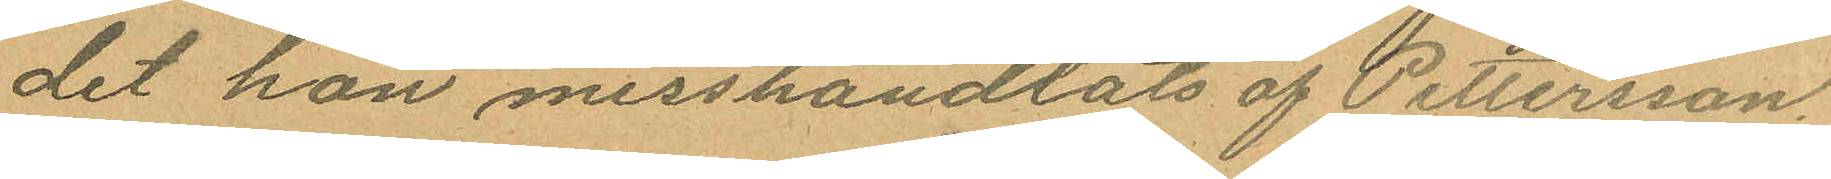det hon misshandlats af Pettersson
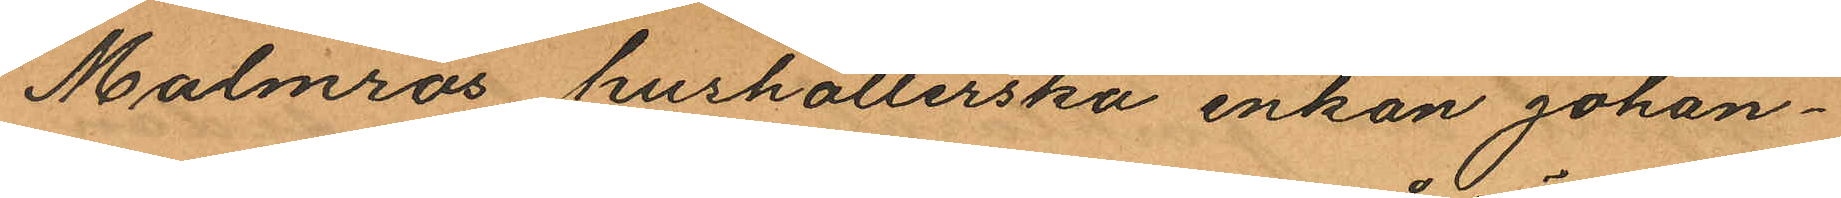Malmros hushållerska enkan Johan¬
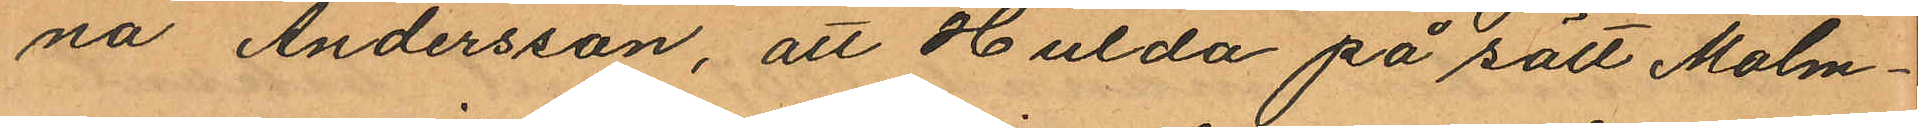na Andersson, att Hulda på sätt Malm¬
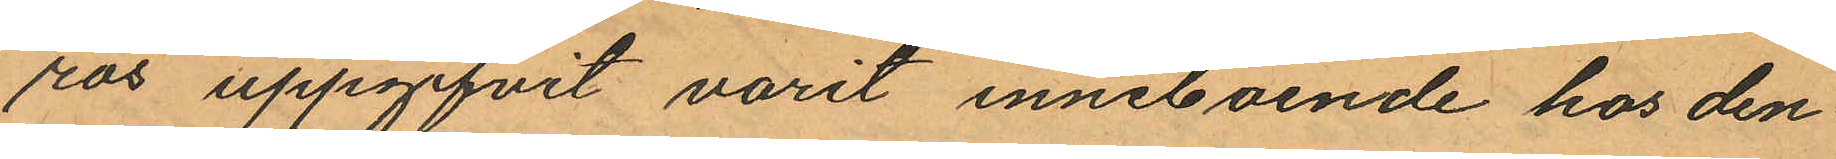ros uppgifvit varit inneboende hos den
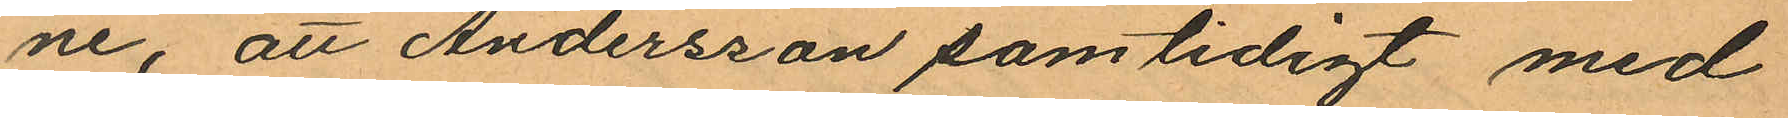ne, att Andersson samtidigt med
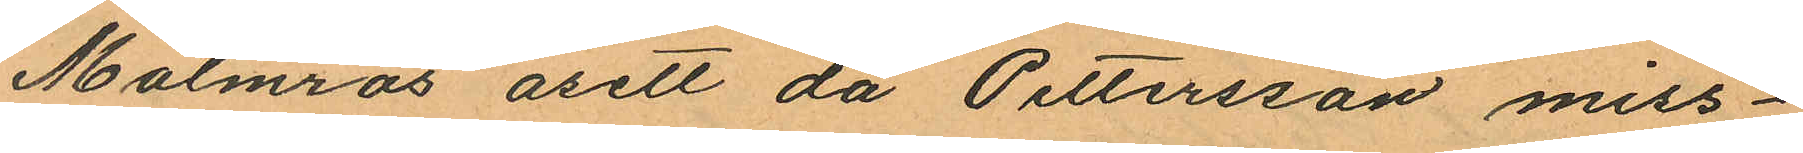Malmros åsett då Pettersson miss¬
